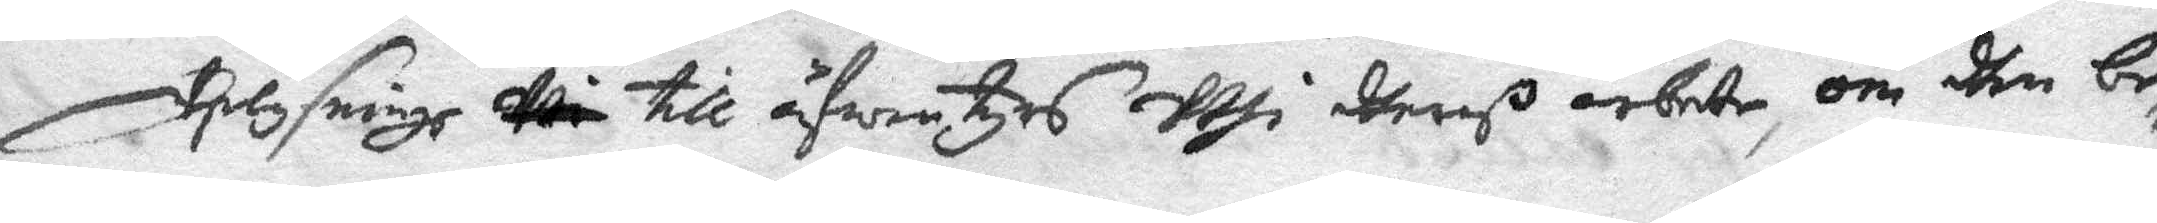Uplysninge till äfwentyrs uthi dheras arbete, om dhe be¬
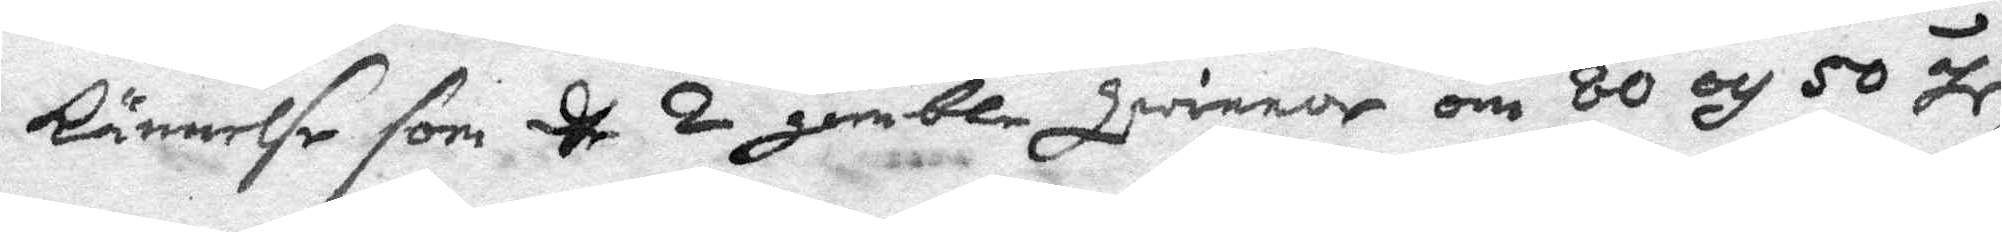kännelse som dhe 2 gamble qwinnor om 80 och 50 åhr,
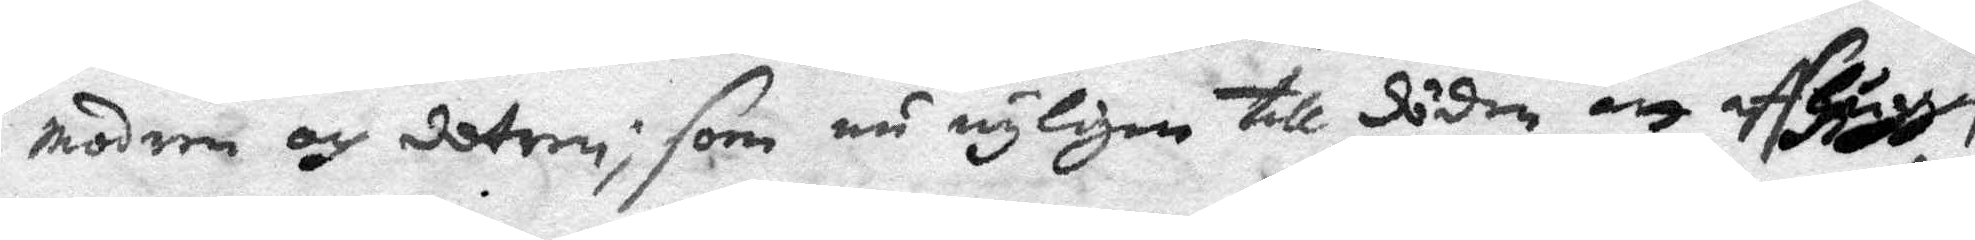modren och dotren; som nu nyligen till döden, att affhuggas
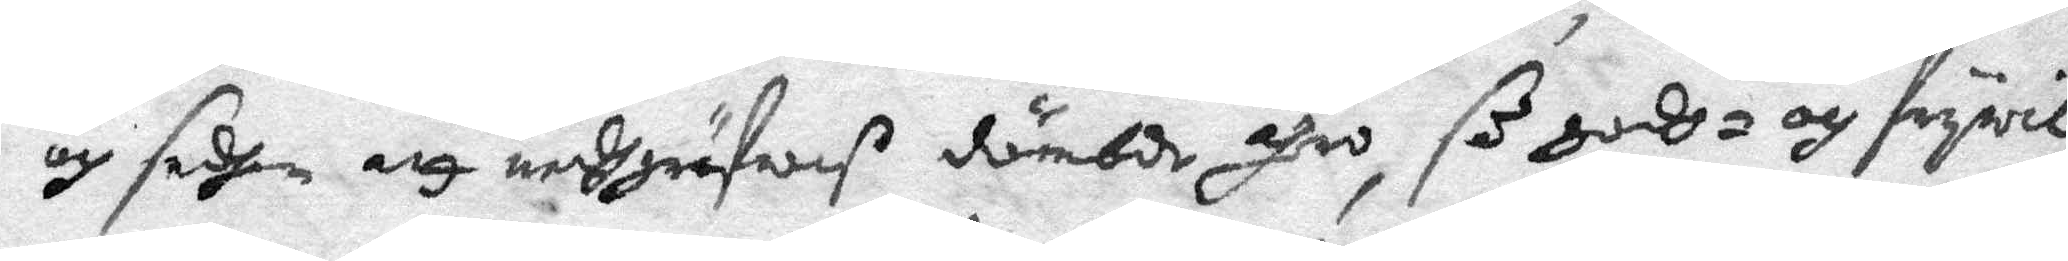och sedan att nedgräfwas dömde ähro, så guds- och frywil¬
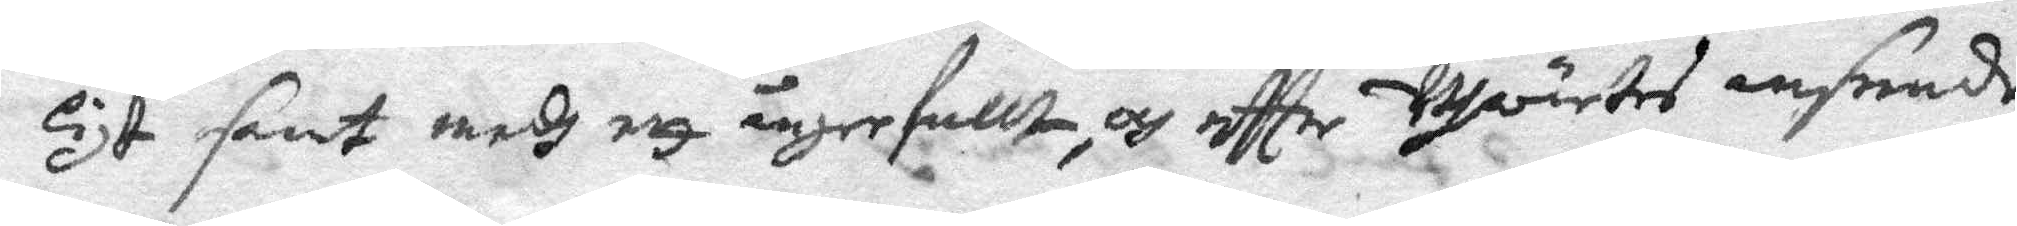ligt samt med ett ångerfullt, och effter Utwärtes anseende
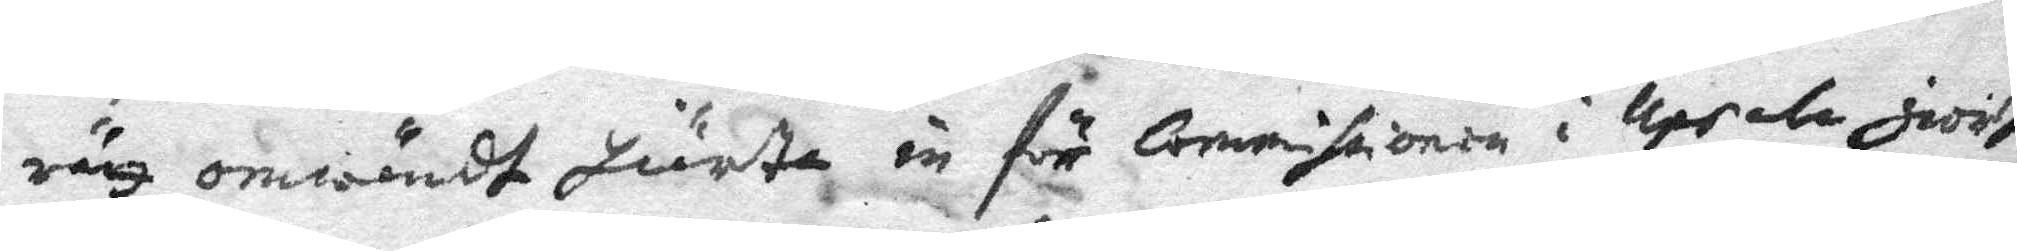rätt omwändt hiärta in för Commissionen i Upsala giordt
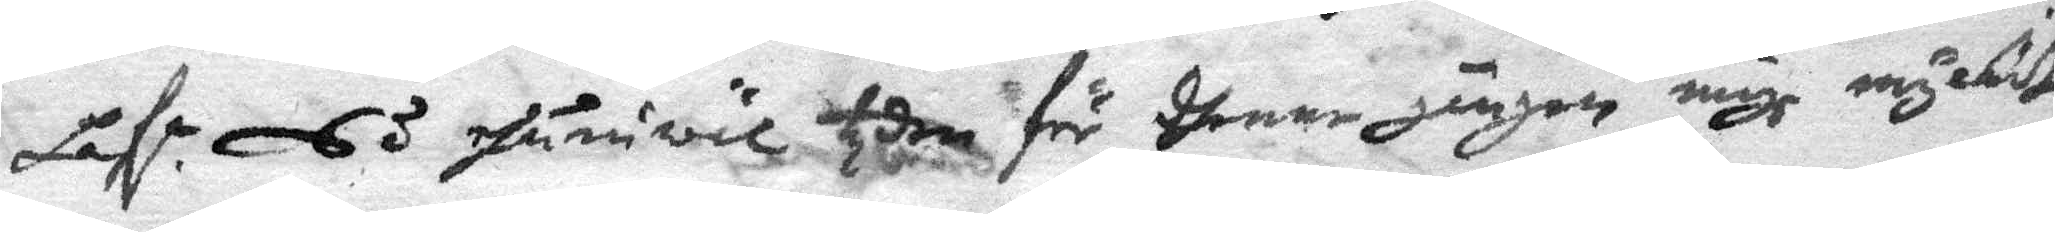hafr. Så ehuruwäl them för dhenne gången mige myckit
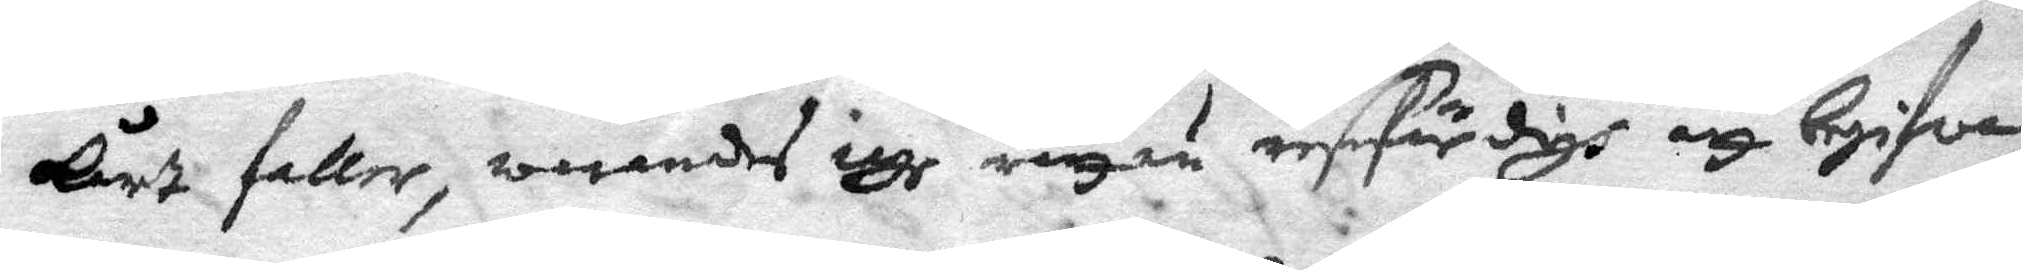Kärt faller, warandes iag rätt nu resefärdigh att begifva
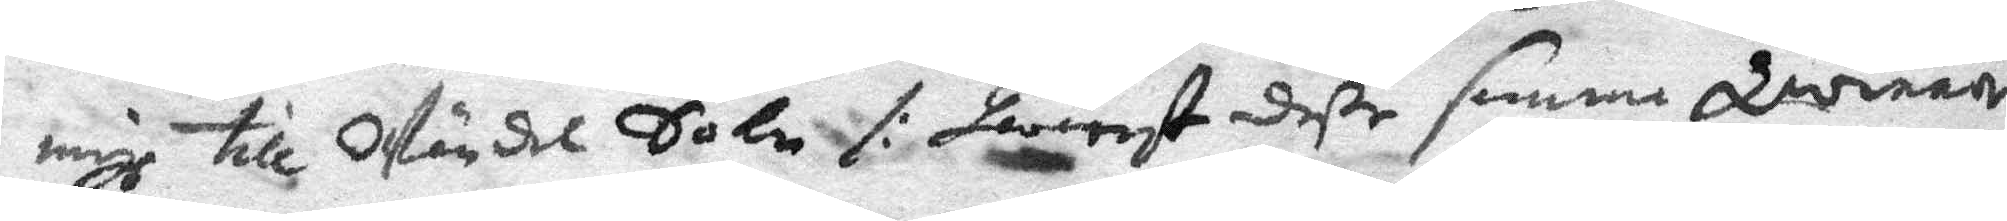migh till Wändel Sokn /: hwarets deße samma qwinnor
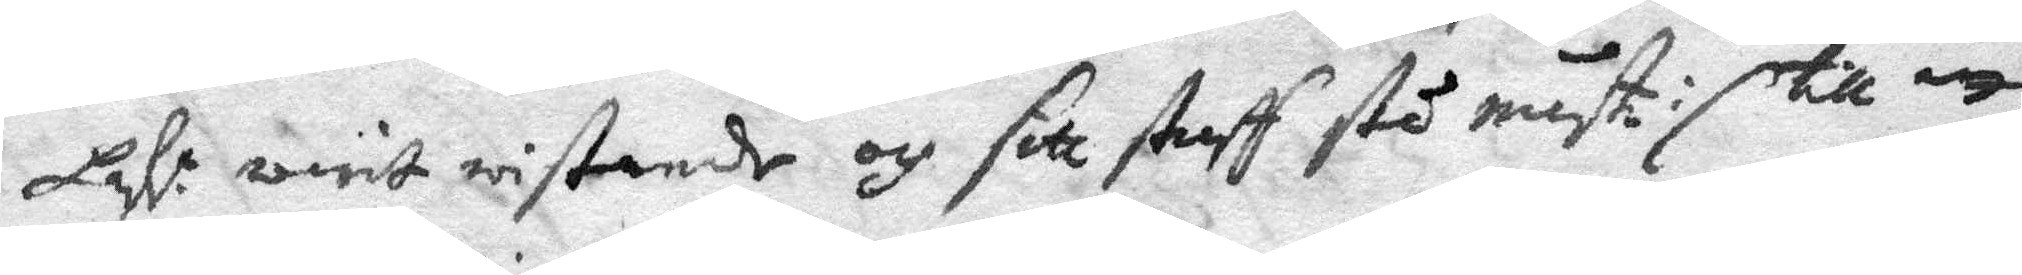hafr. warit wistande och sitt straff stå måst :/ till att
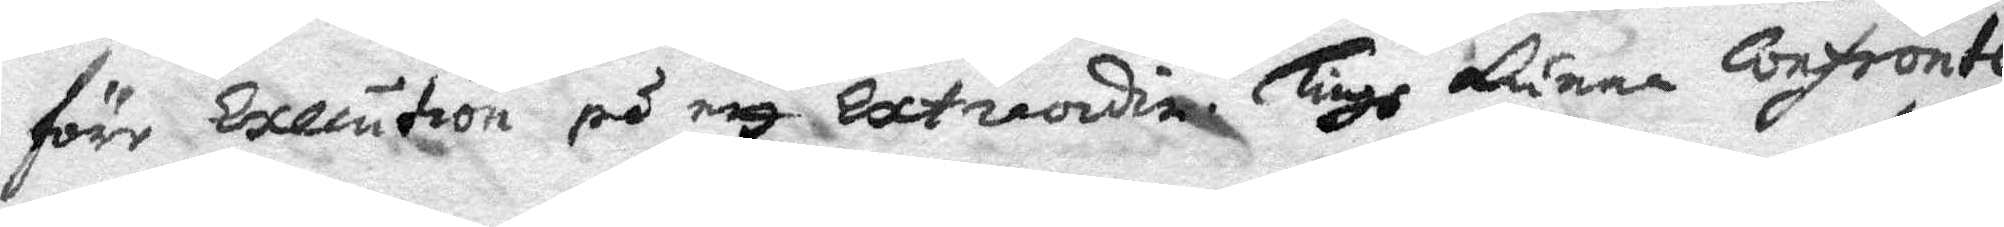före Execution på ett Extraordine Tingh kunna Confronte¬
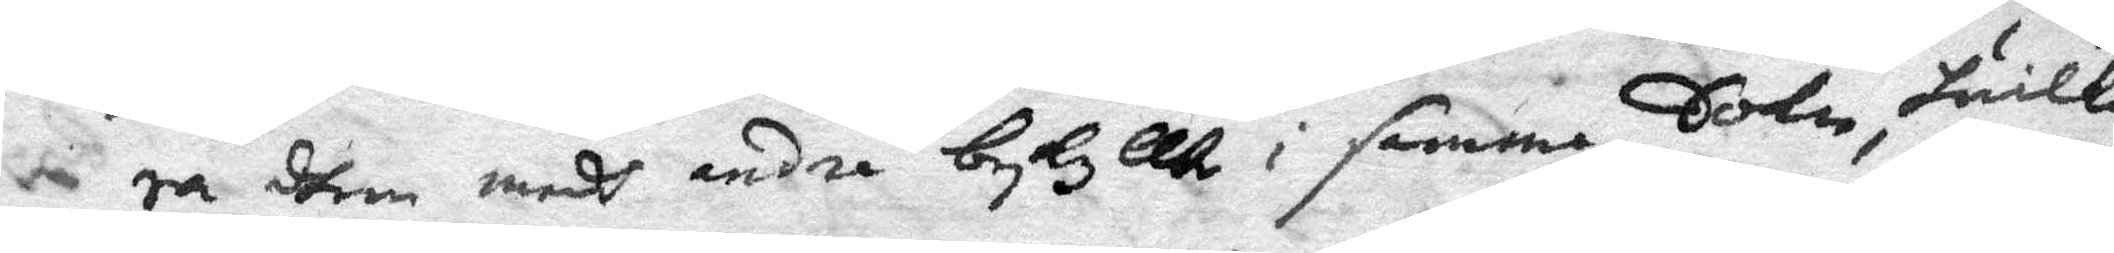ra dhem medh andre beskyllte i samma Sokn, huilka
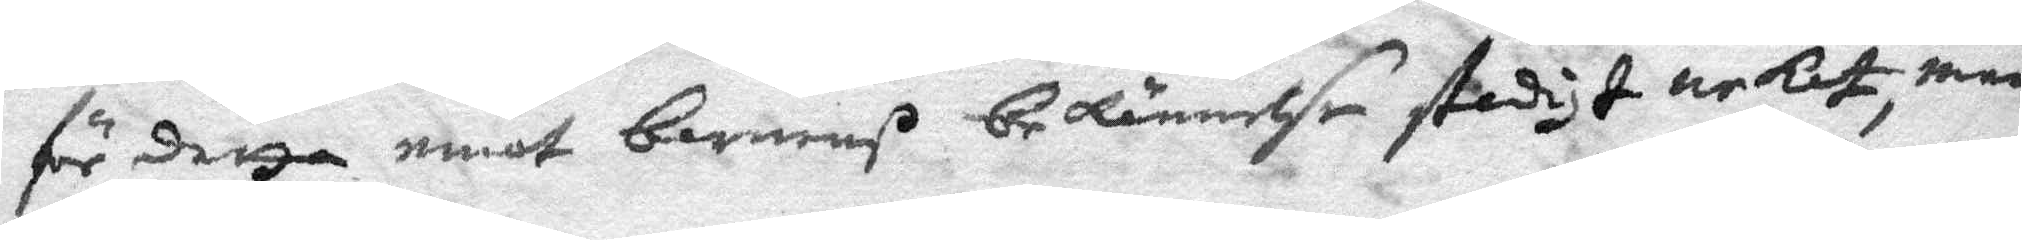för detta emot barnenß bekännelse stadigt nekat, men
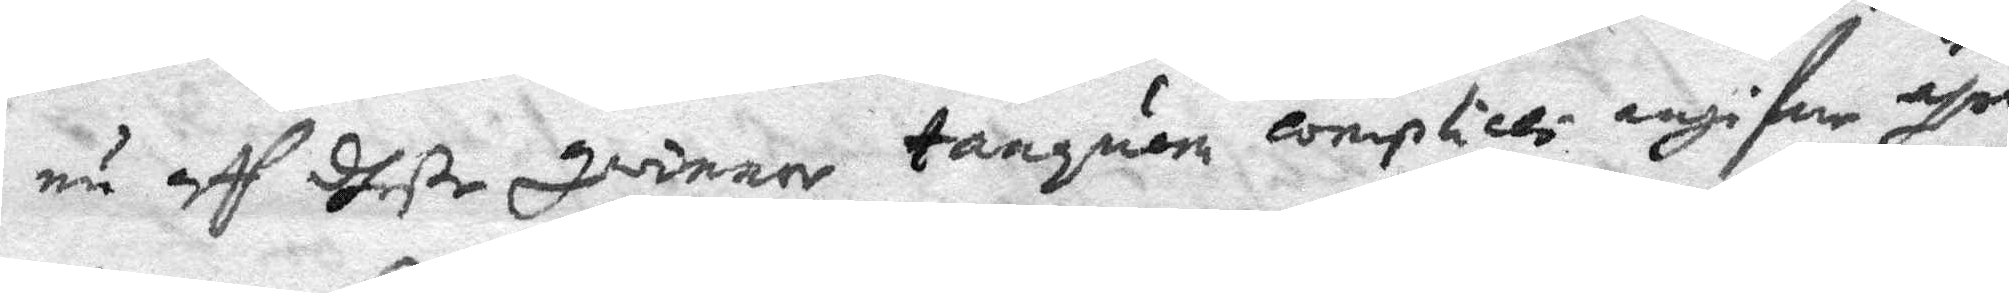nu aff dheße qwinnor tanguera conplicio angifwe ähro
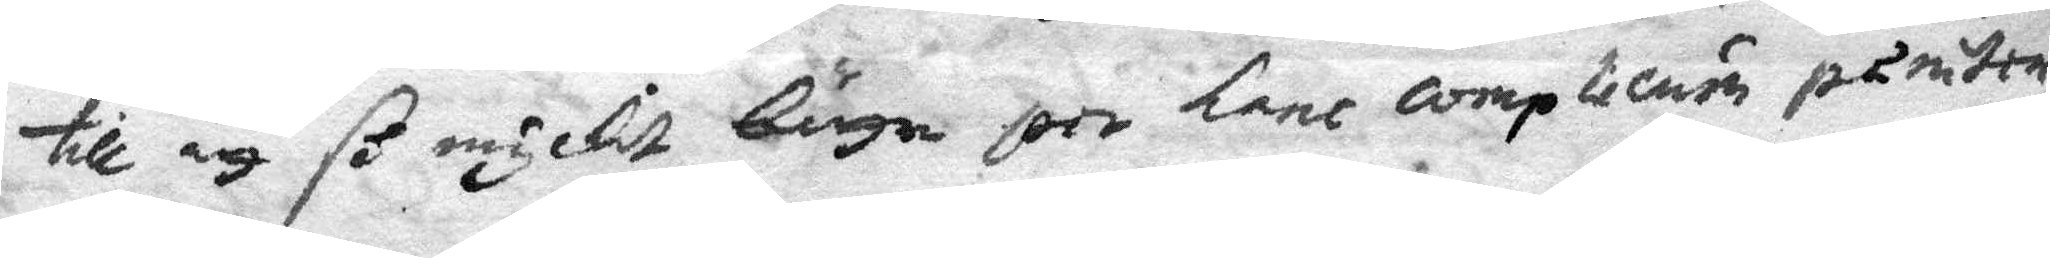till att så myckit bättre jore lant complicuin påmitre
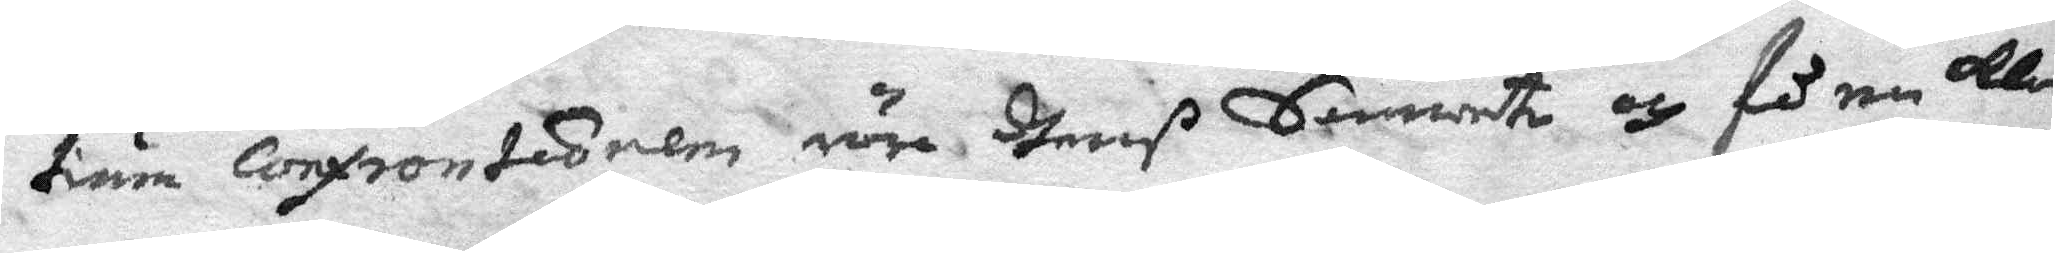tiäna Confronteorem röre dheraß Samwete och få en klar
